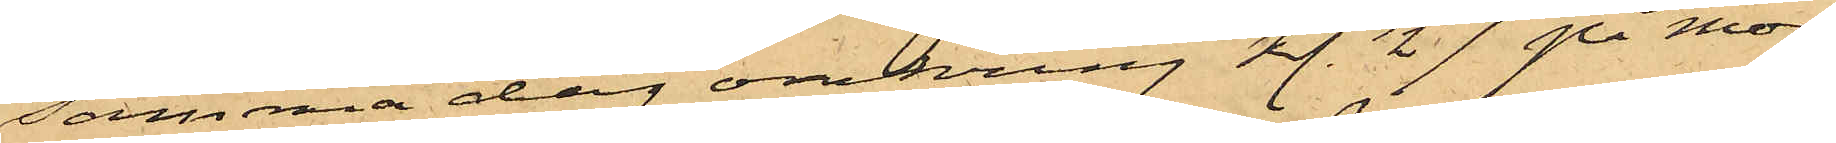samma dag omkring kl. 1/2 7 på mor¬
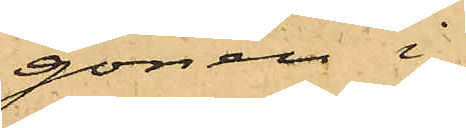gonen i
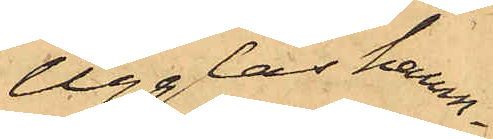Ugglas hamn¬
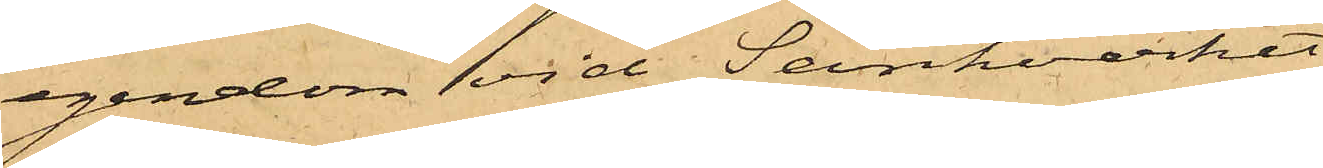egendom vid Sänkverket
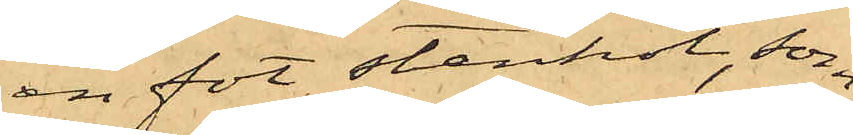en fot stenkol, som
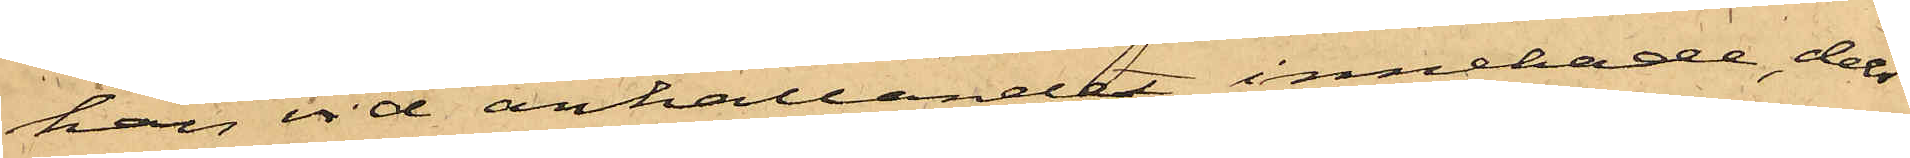han vid anhållandet innehade, dels
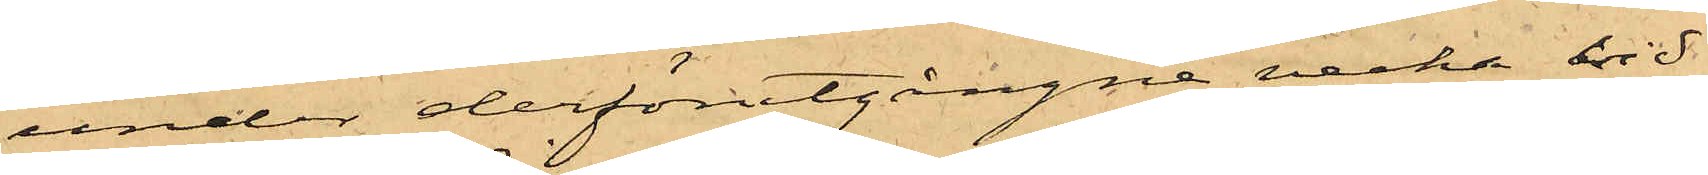under derförutgångne vecka vid
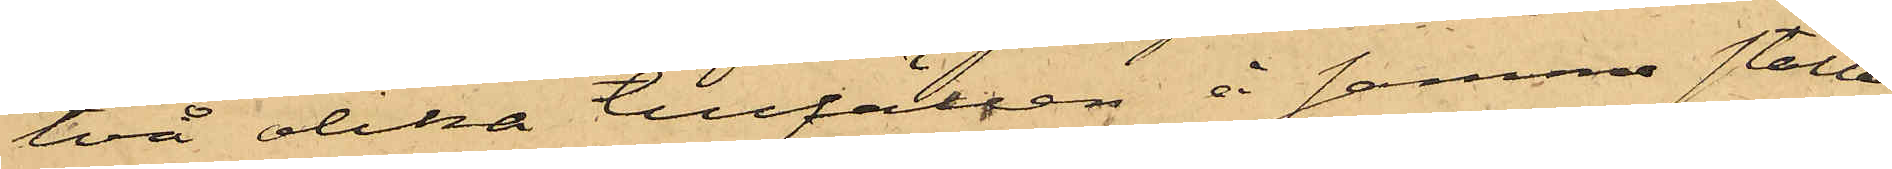två olika tillfällen å samma ställe
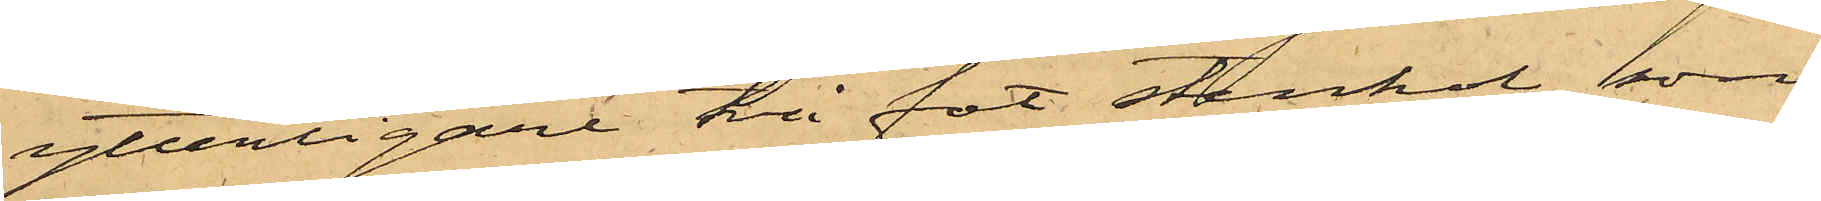ytterligare två fot stenkol, som
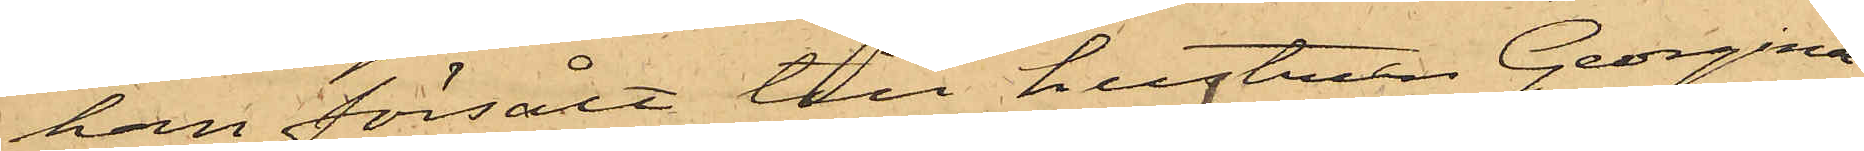han försålt till hustrun Georgina
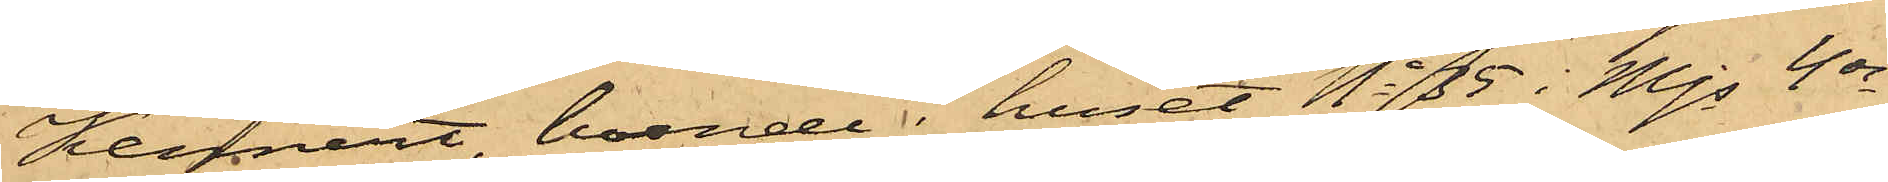Kennert boende i huset No 35 i Mjs 4de
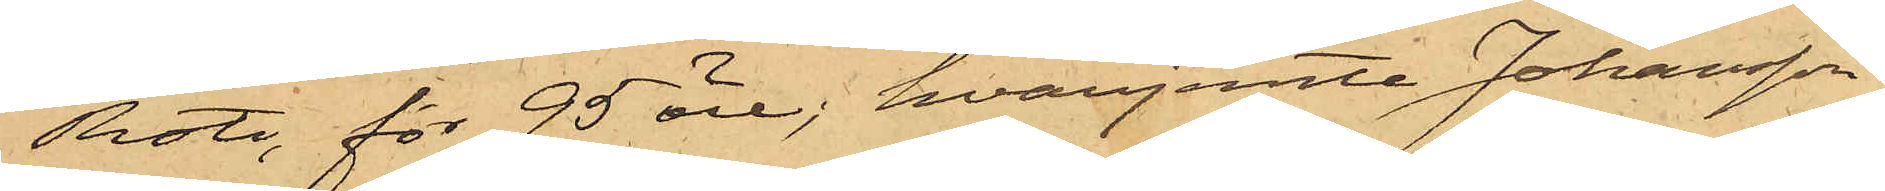Rote, för 95 öre, hvarjemte Johansson
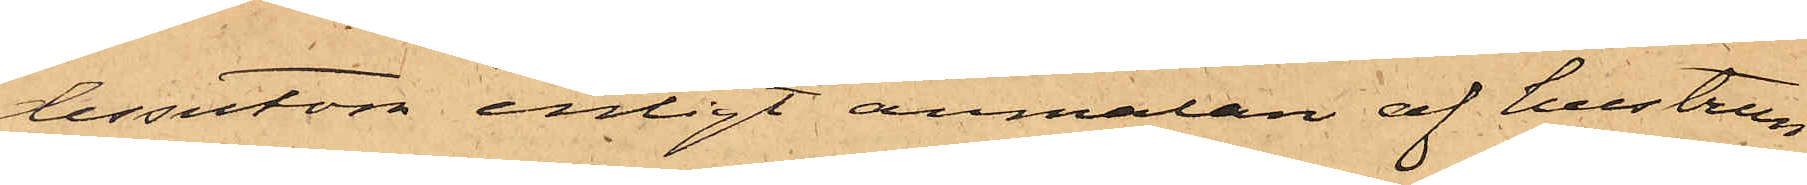dessutom enligt anmälan af hustrun
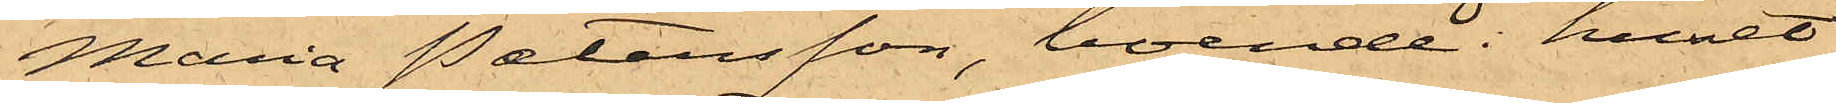Maria Petersson, boende i huset
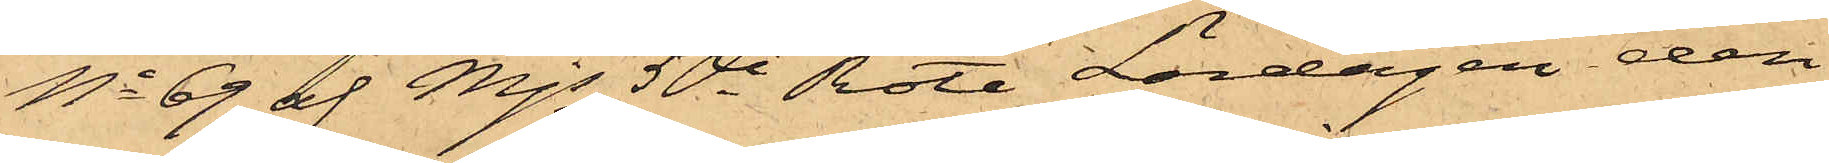No 69 af Mjs 5te Rote Lördagen den
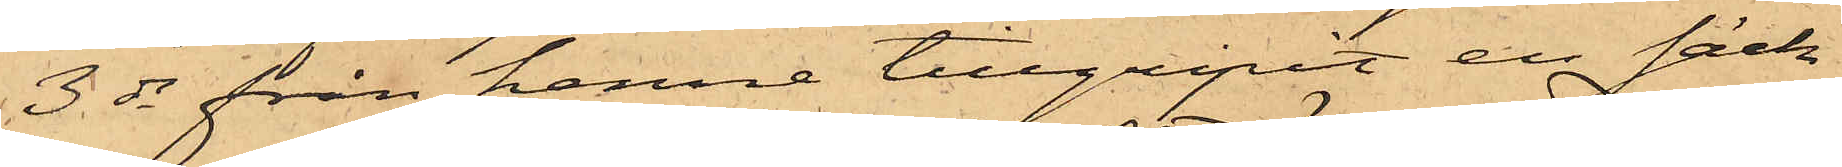3 ds från henne tillgripit en säck
